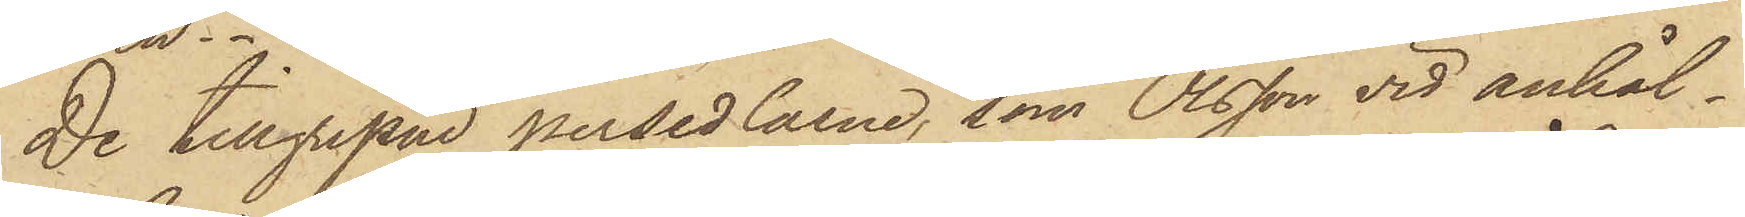De tillgripne persedlarne, som Olsson vid anhål¬
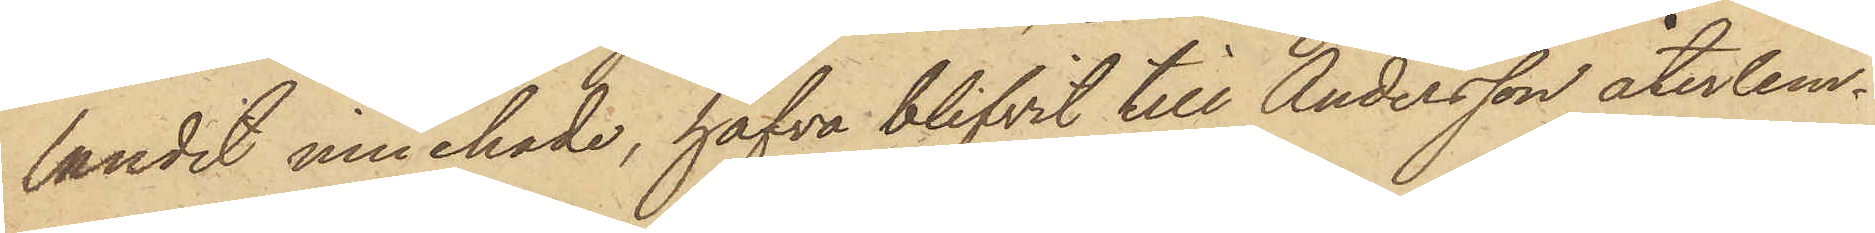landet innehade, hafva blifvit till Andersson återlem¬
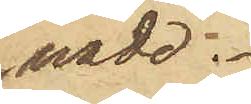nade.
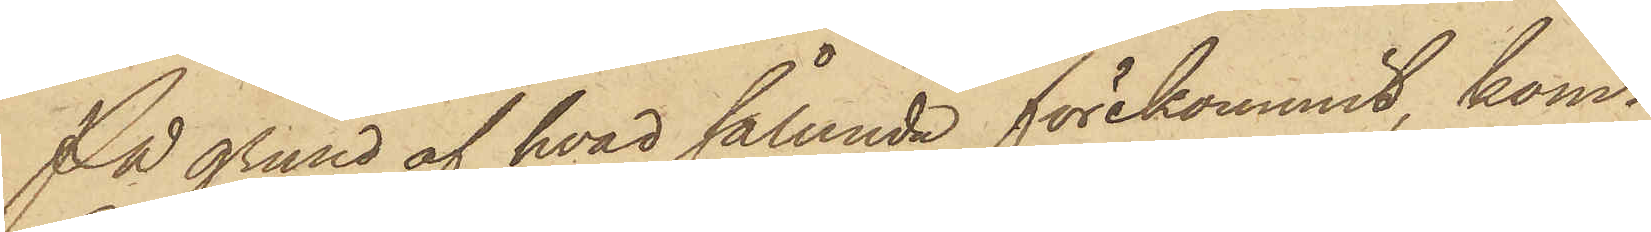På grund af hvad sålunda förekommit, kom¬
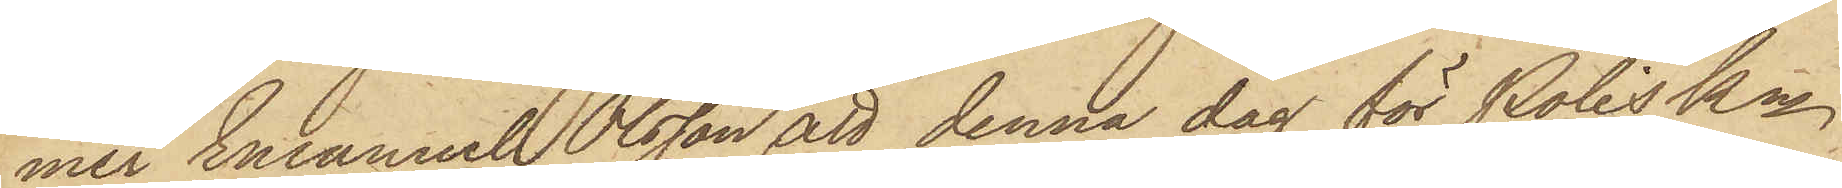mer Emanuel Olsson att denna dag för PolisKn
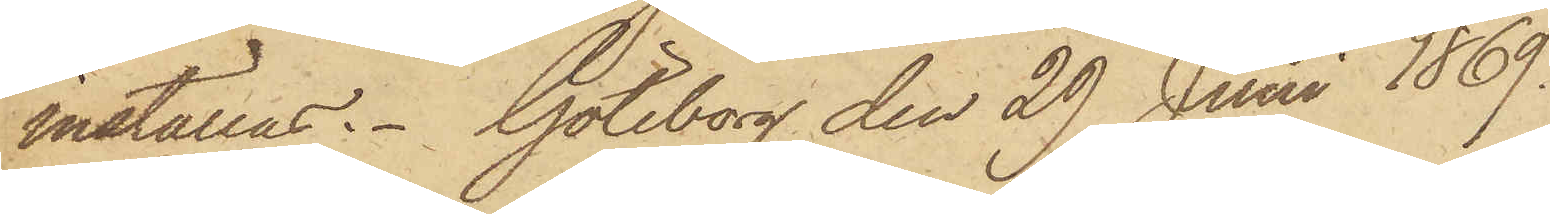inställas. Göteborg den 29 Juni 1869.
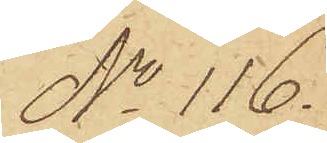No 116.
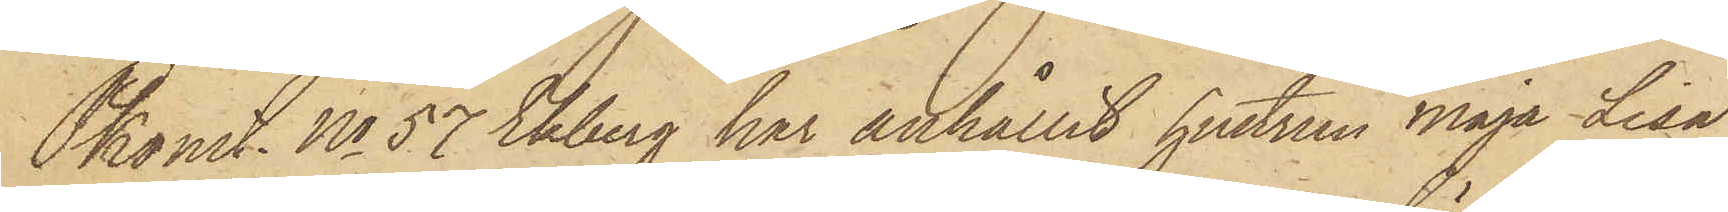Pkonst. No 57 Ekberg har anhållit hustrun Maja Lisa
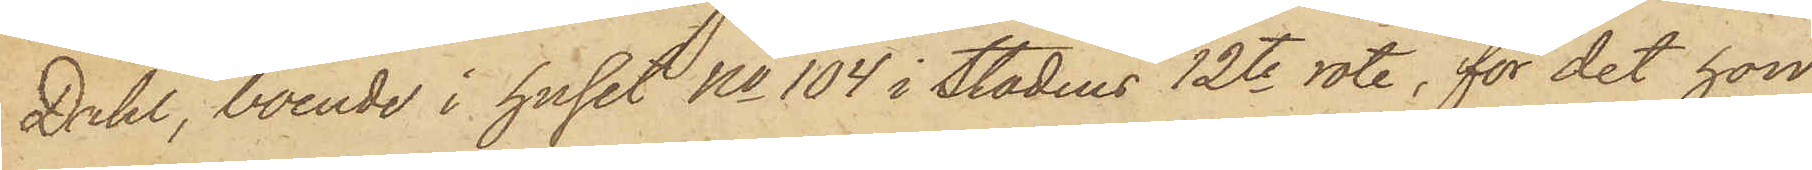Dahl, boende i huset No 104 i Stadens 12te rote, för det hon
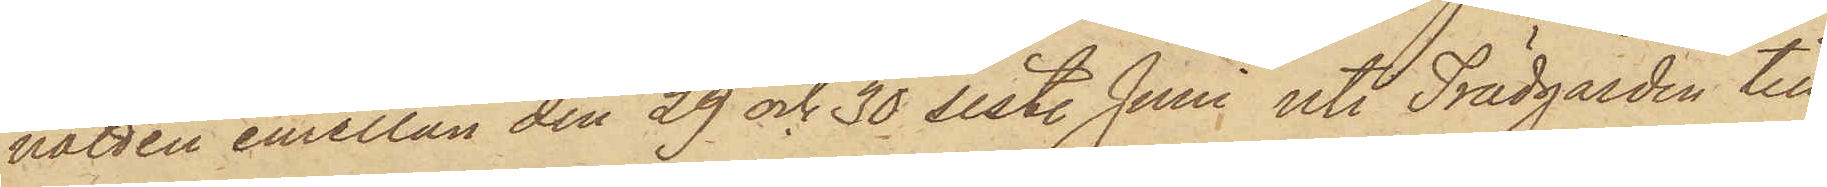natten emellan den 29 och 30 sist. Juni uti Trädgården till
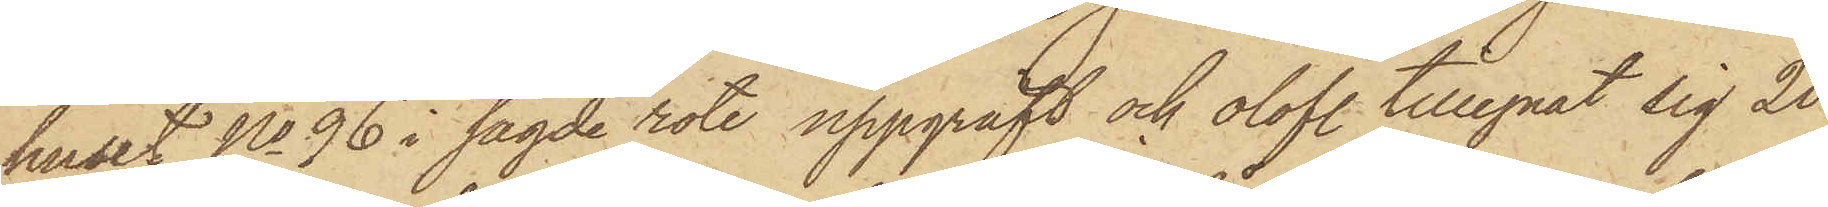huset No 96 i sagde rote uppgräft och olofl. tillegnat sig 20
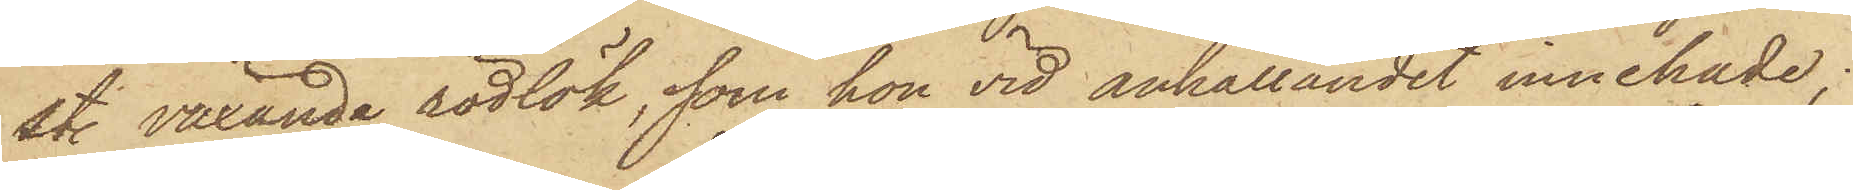st. växande rödlök, som hon vid anhållandet innehade;
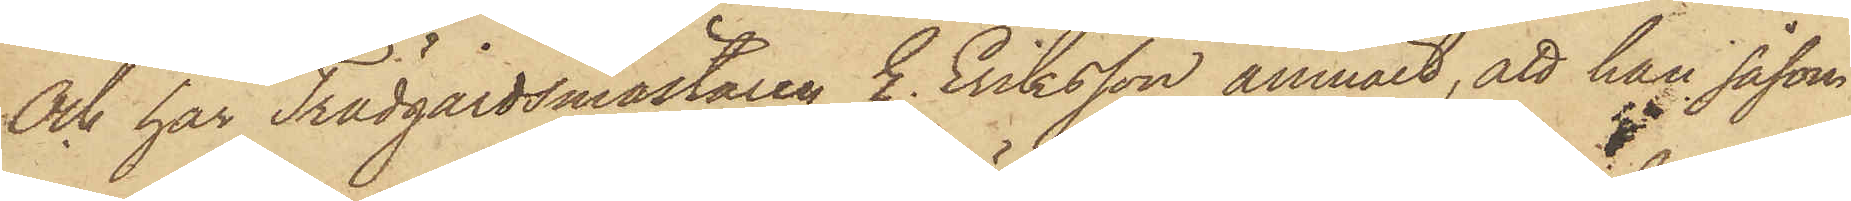Och har Trädgårdsmästaren E. Eriksson anmält, att han såsom
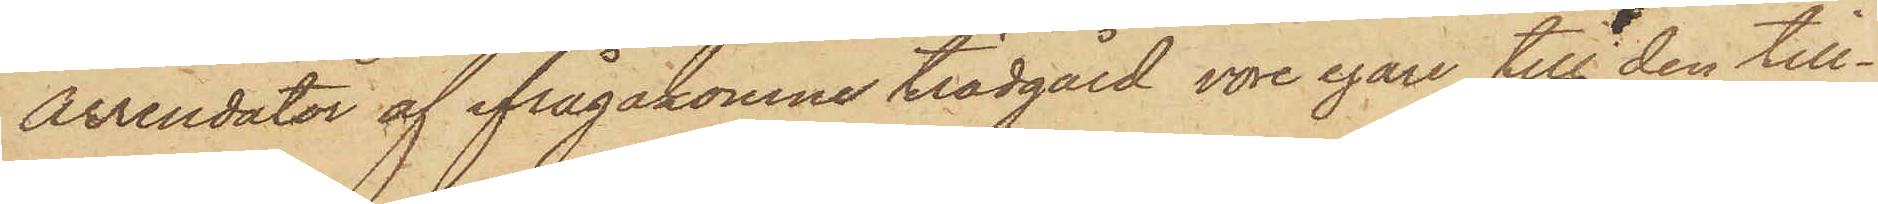arrendator af ifrågakomne trädgård vore egare till den till¬
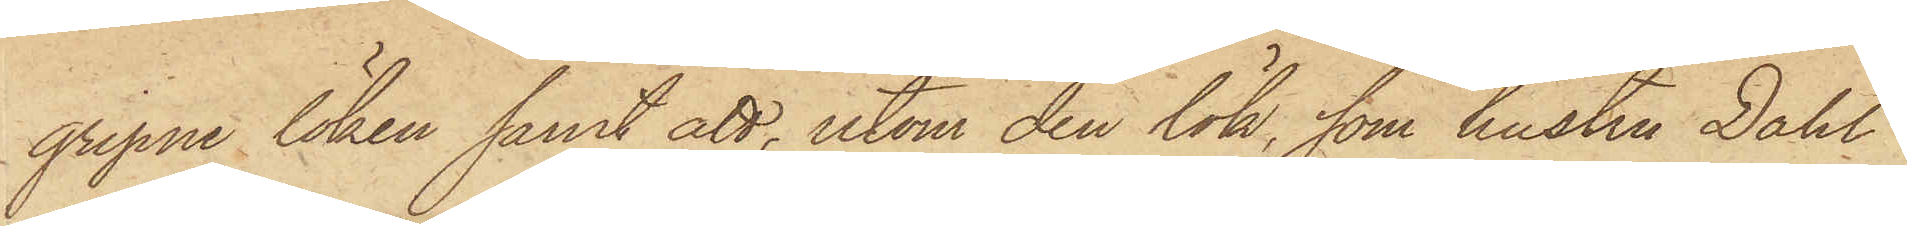gripne löken, samt att, utom den lök, som hustru Dahl
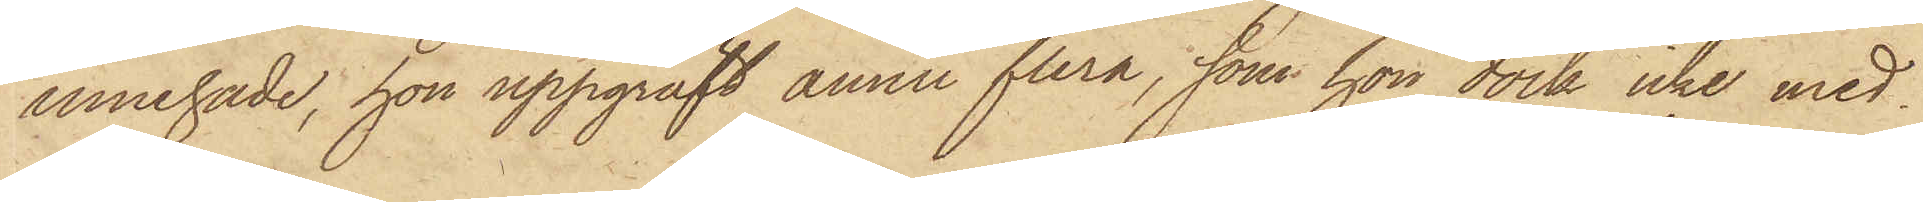innehade, hon uppgräft ännu flera, som hon dock icke med¬
